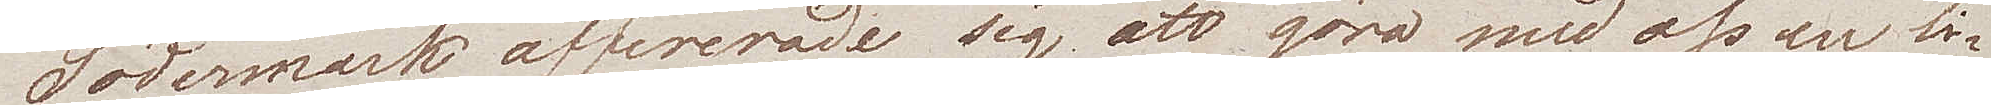Södermark offererade sig att göra med oss en li¬
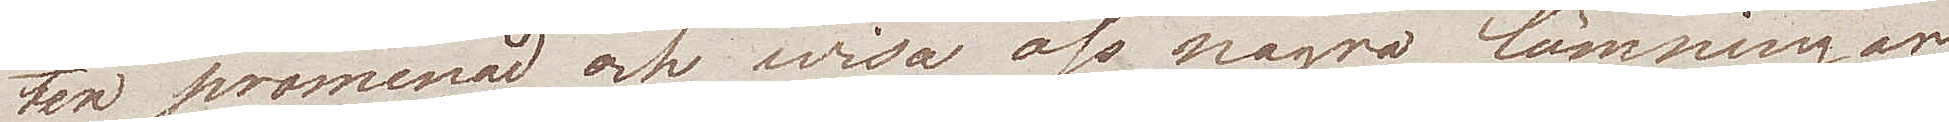ten promenad och wisa oss några lämningar
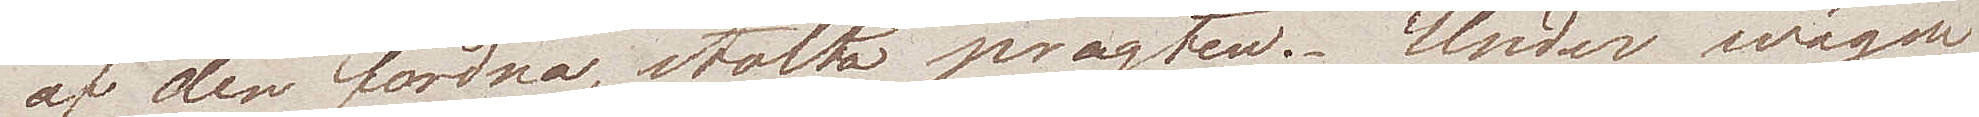af den fordna, stolta pragten. - Under wägen
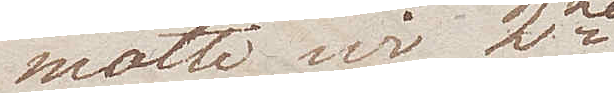mötte wi 2ne
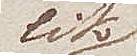lik¬
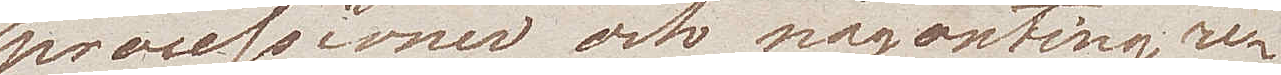processioner, och någonting cu¬
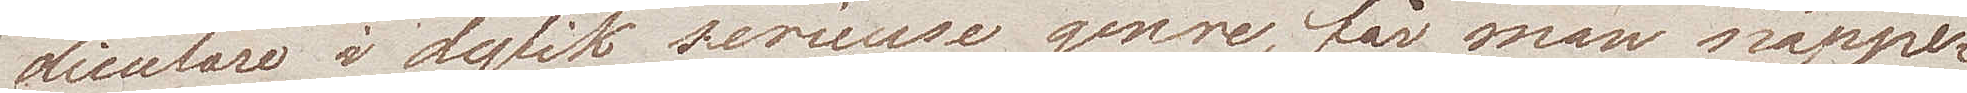rieusare i dylik serieuse genre, får man näpper¬
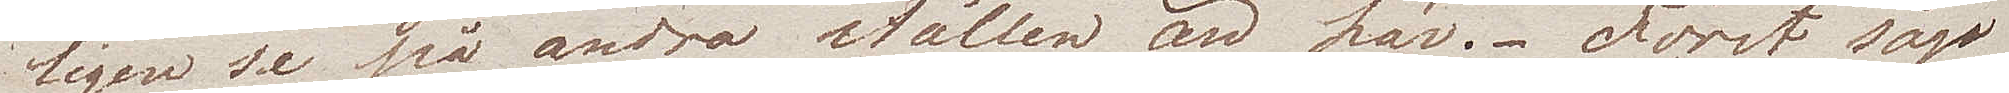ligen se på andra ställen än här. Först sågo
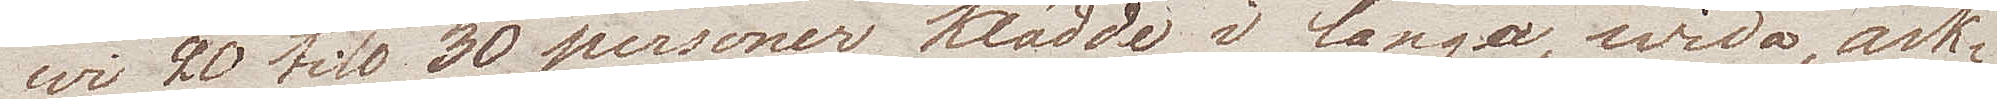wi 20 till 30 personer klädde i långa, wida ask¬
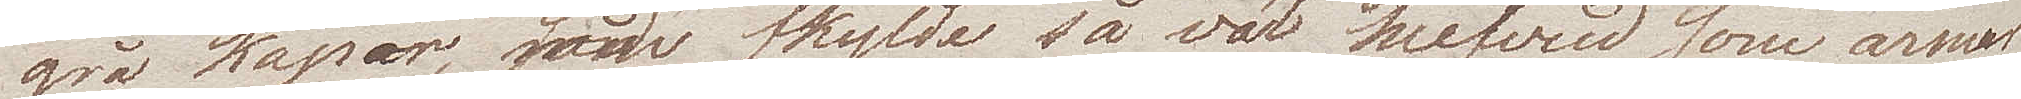grå kaper, som skylde så väl hufvud som armar.
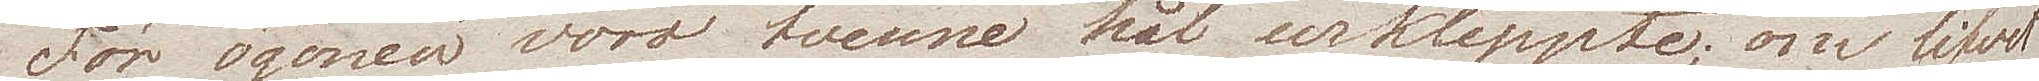För ögonen voro tvenne hål urklippte; om lifvet
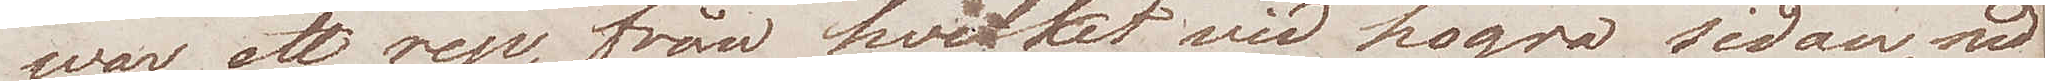war ett rep, från hvilket vid högra sidan, ned¬
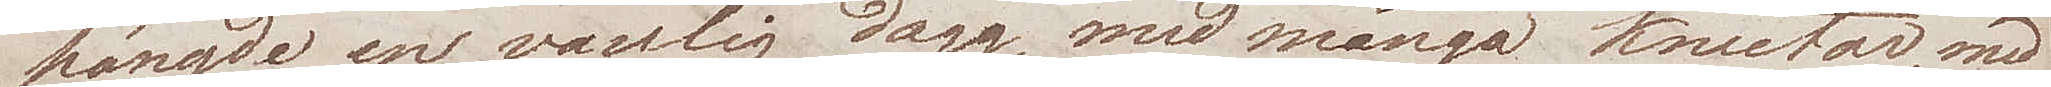hängde en vanlig dagg, med många knutar, med 
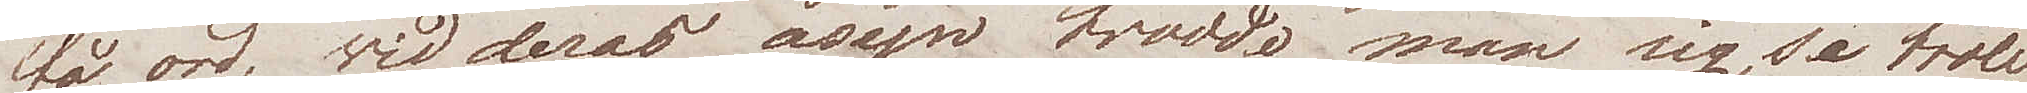få ord, wid deras åsyn trodde man sig se troll¬
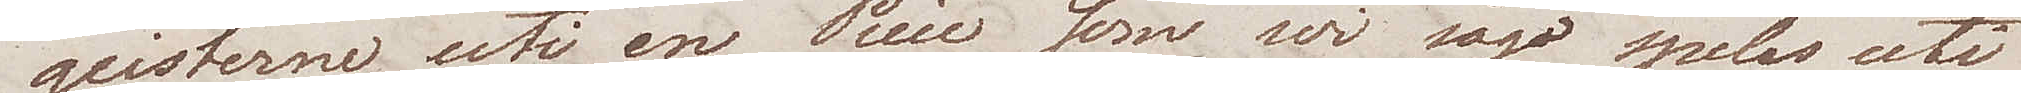geisterne uti en Piece som wi sågo spelas uti
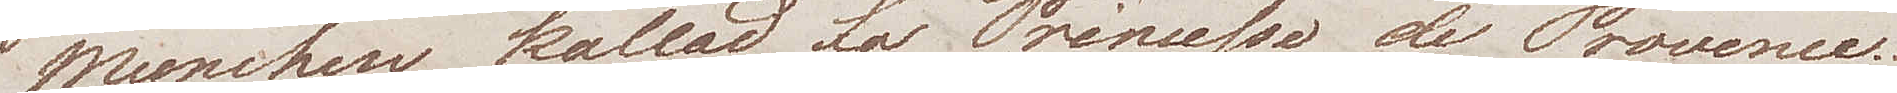Munchen kallad La Princesse de Provence.
